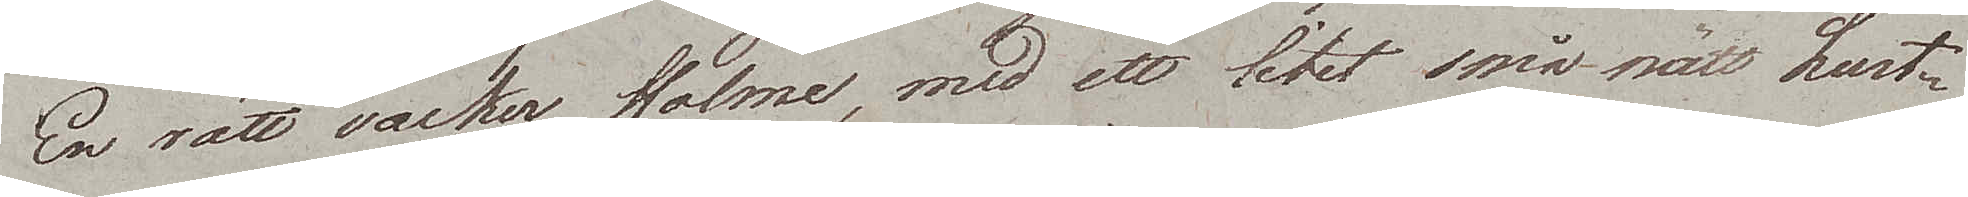En rätt vacker Holme, med ett litet smånätt Lust¬
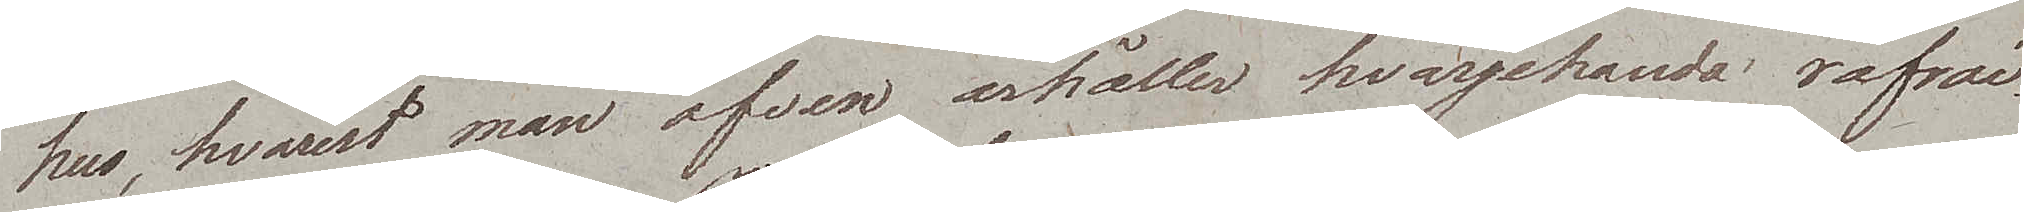hus, hvarest man äfven ärhåller hvarjehanda refrai¬
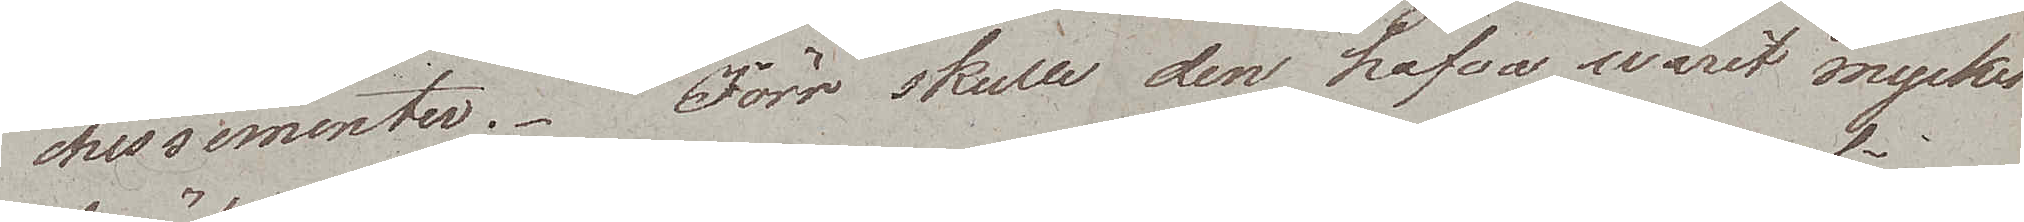chissimenter. Förr skulle den hafva warit mycket
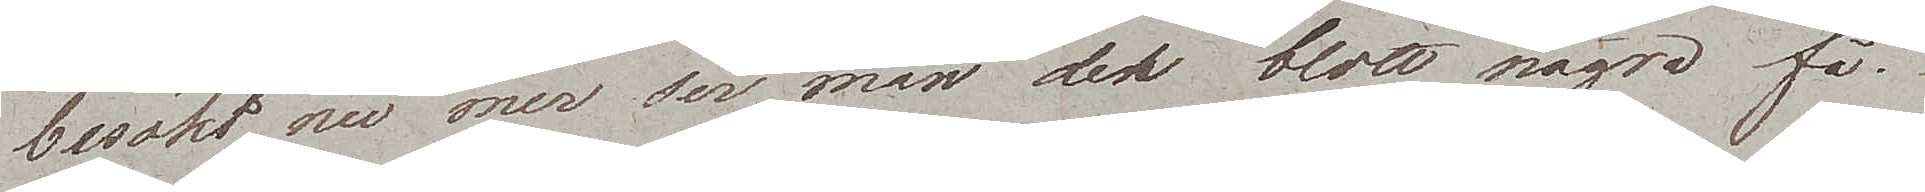besökt, nu mer ser man der blott några få.
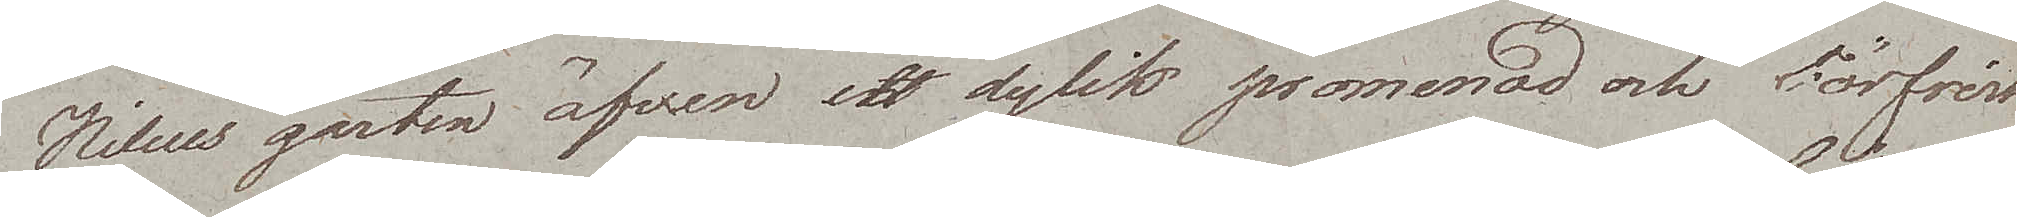Nillius garten äfven en dylik promenad och förfrisk¬
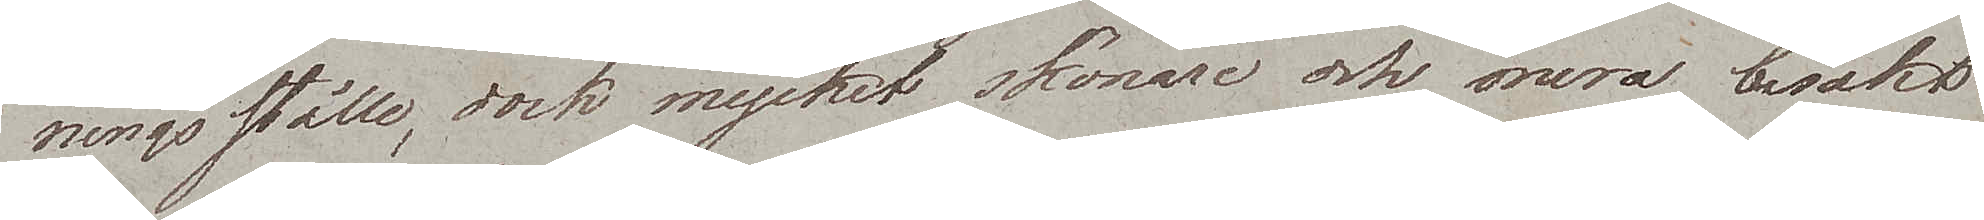ningsställe, dock mycket skönare och mera besökt.
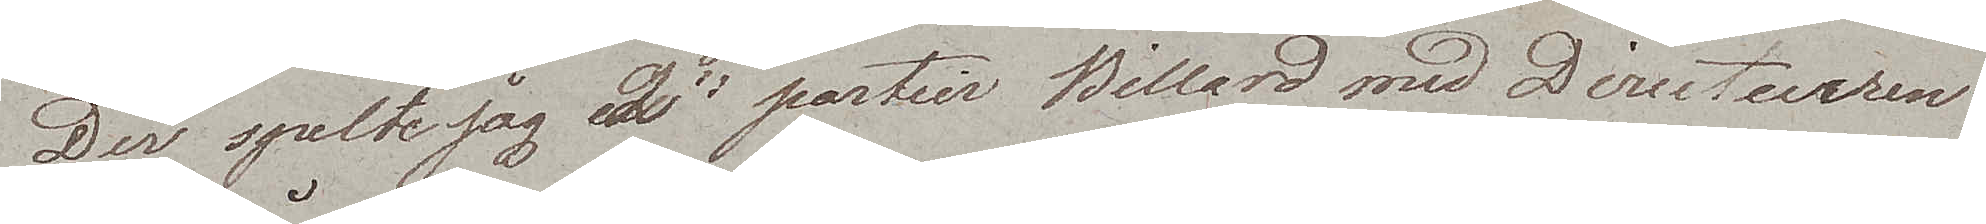Der spelte jag 2ne partier Billard med Directuren.
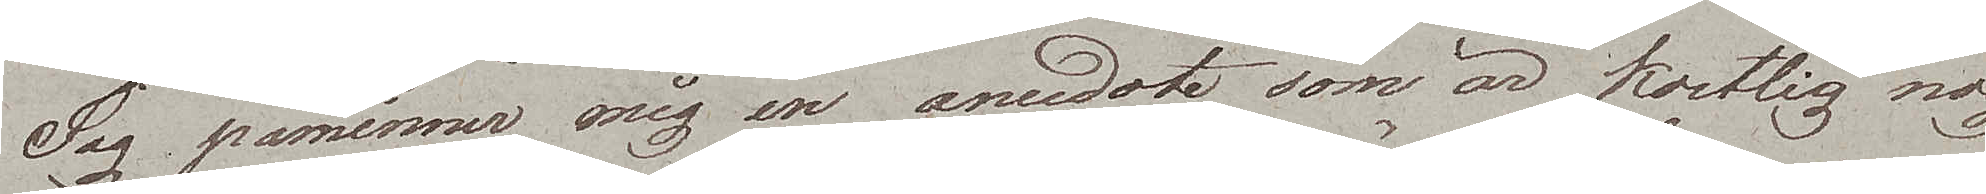Jag påminner mig en anecdote som är kostlig nog
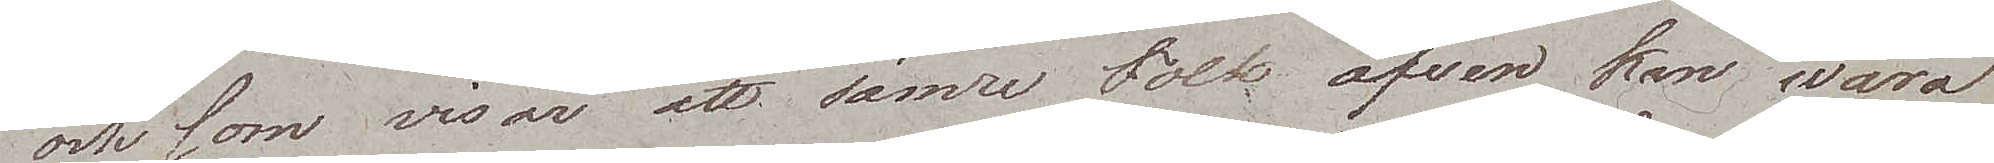och som visar att sämre Folk äfven kan wara
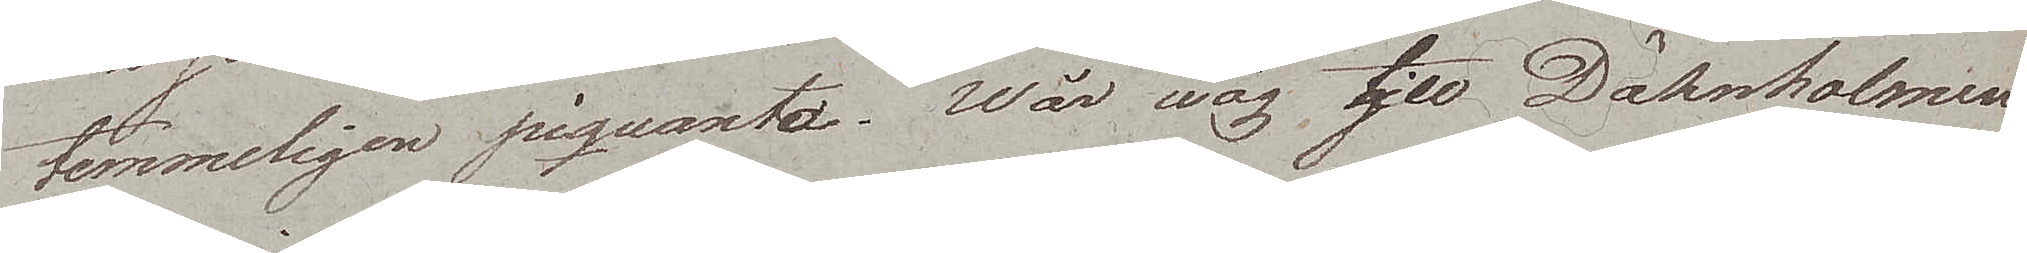temmeligen piquanta. Wår wäg tjll Dähnholmen
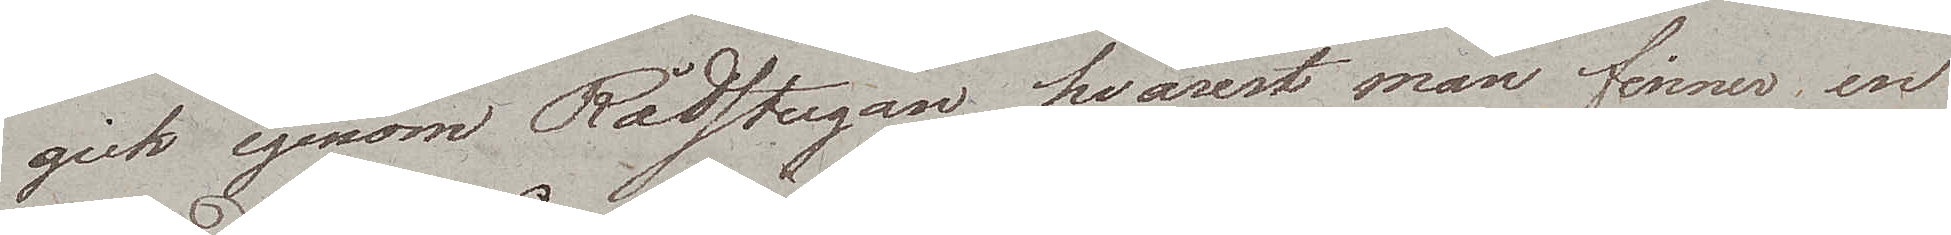gick igenom Rådstugan, hvarest man finner en
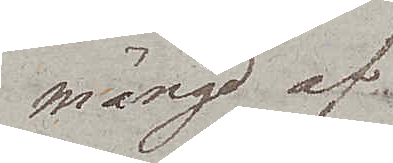mängd af
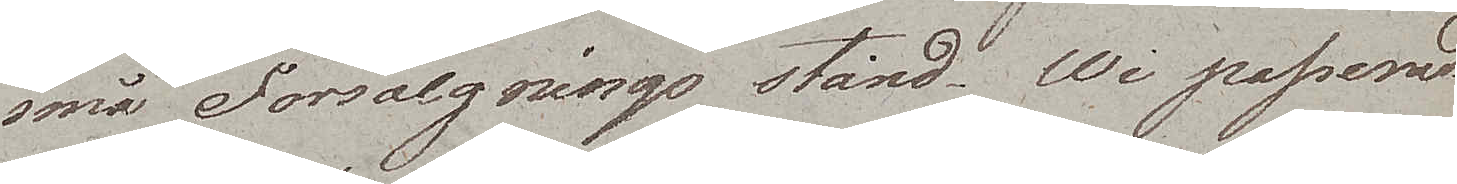små Försälgnings stånd. Wi passerade
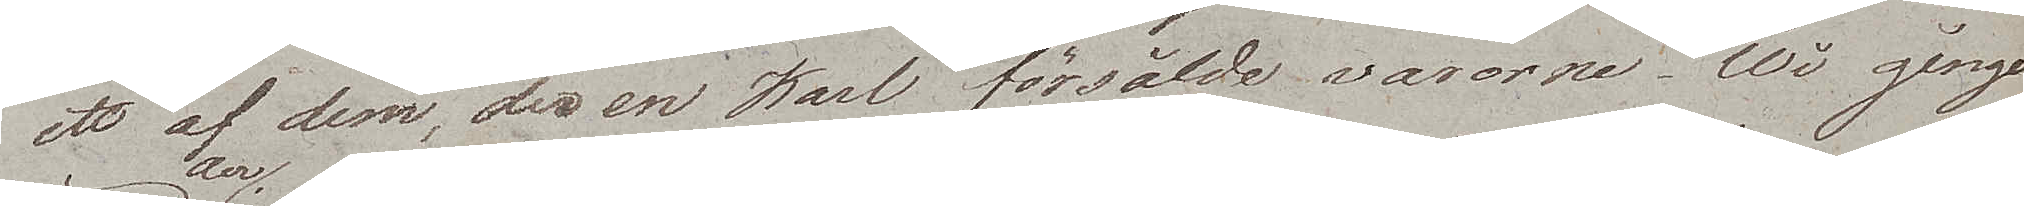ett af dem, der en Karl försålde varorne. Wi gingo
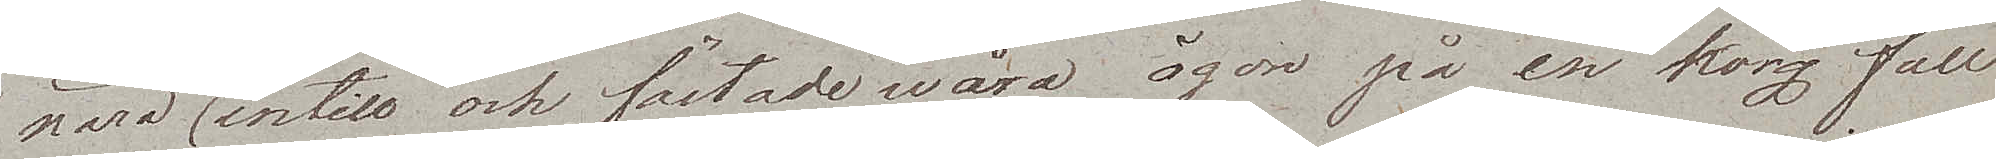nära derintill och fästade wåra ögon på en korg full
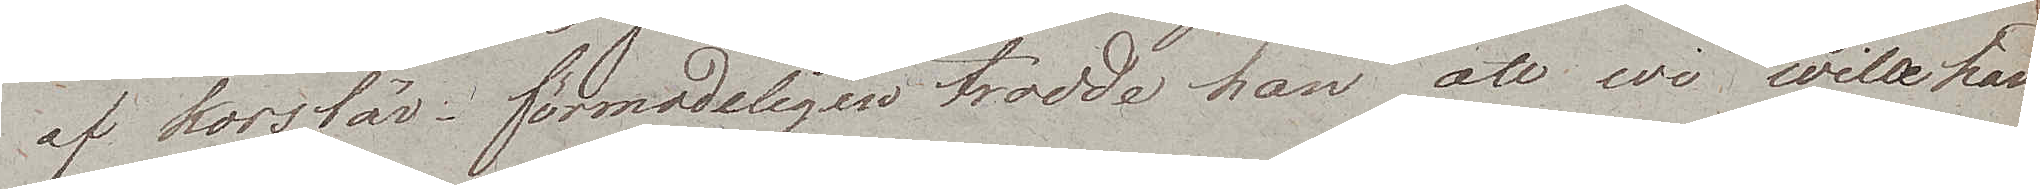af körsbär. Förmodeligen trodde han att wi wille han¬
